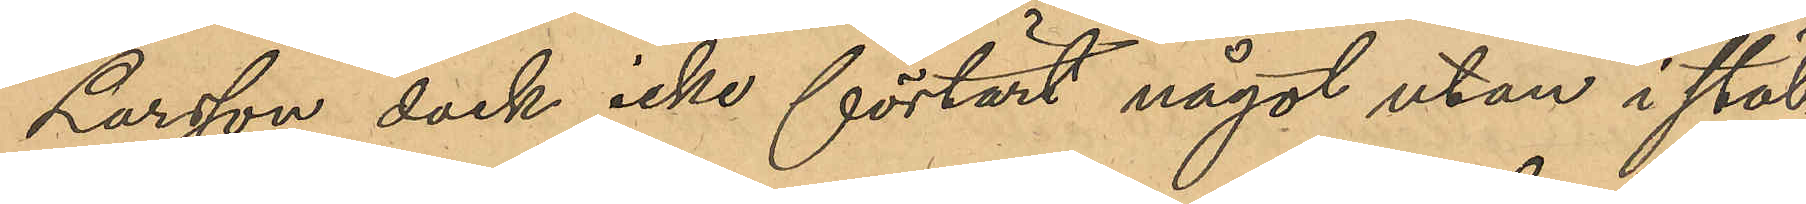Larsson dock icke förtärt något utan i stäl¬
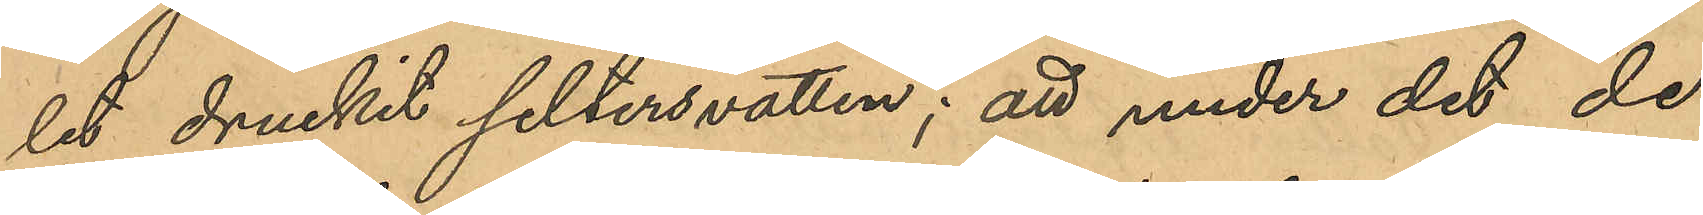let druckit seltersvatten; att under det de
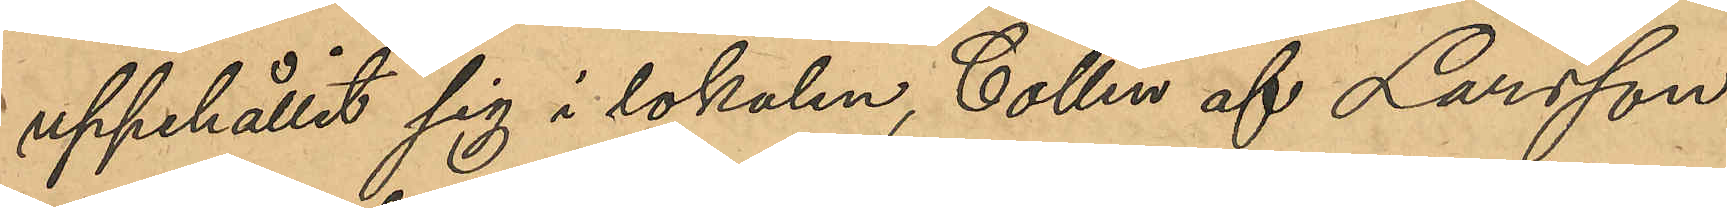uppehållit sig i lokalen, Collin af Larsson
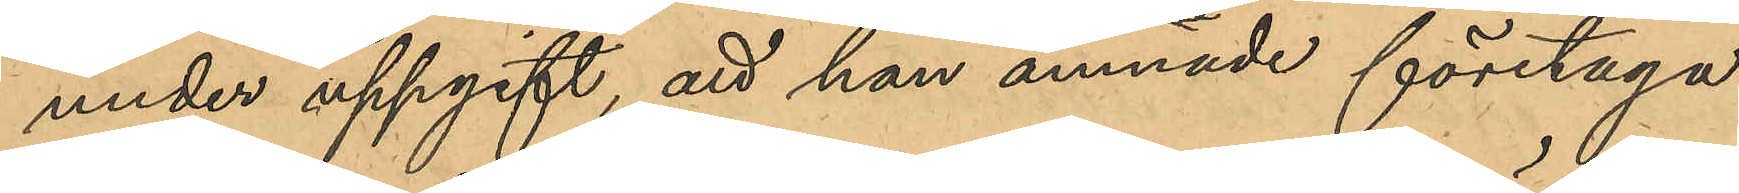under uppgift, att han ämnade företaga
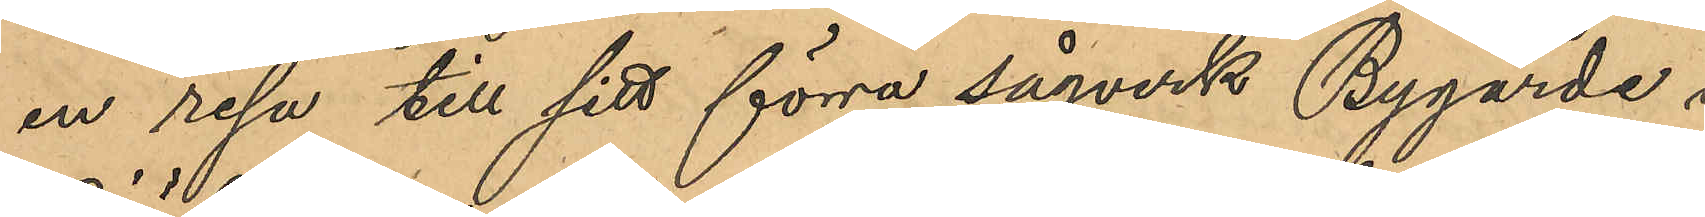en resa till sitt förra sågverk Bygärde i
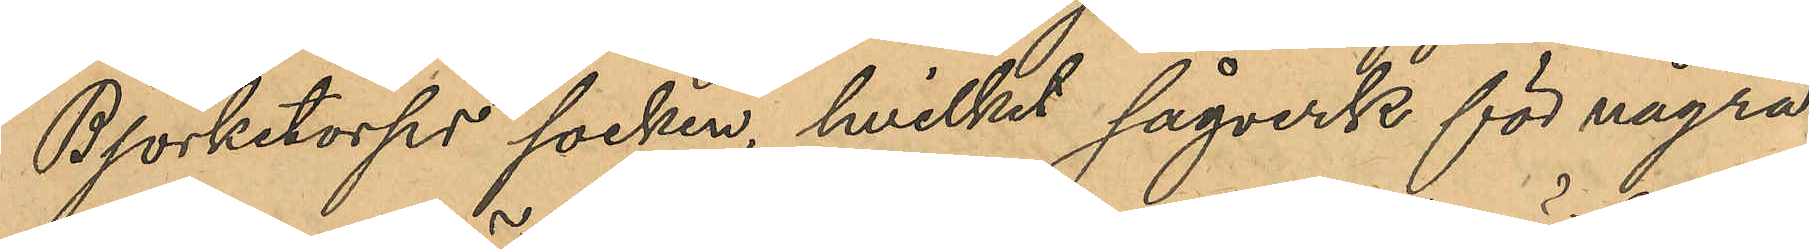Björketorps socken, hvilket sågverk för några
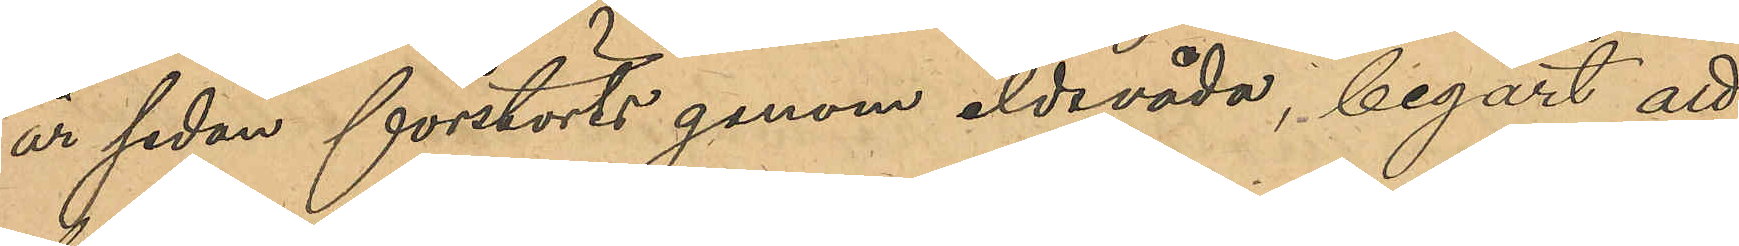år sedan förstörts genom eldsvåda, begärt att
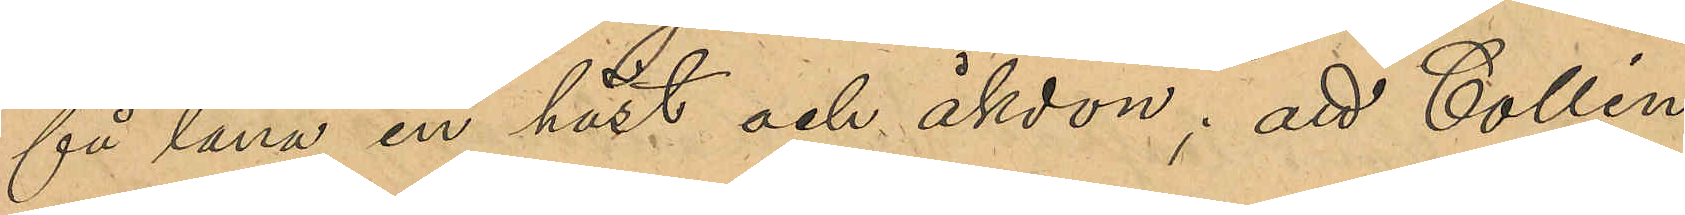få låna en häst och åkdon; att Collin
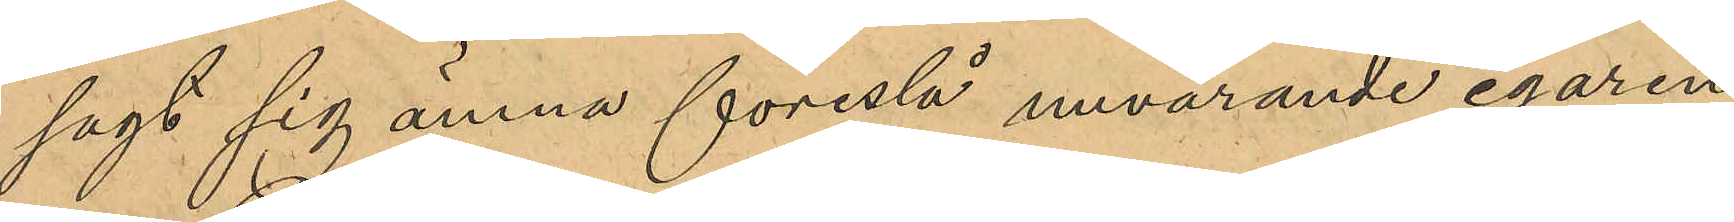sagt sig ämna föreslå nuvarande egaren
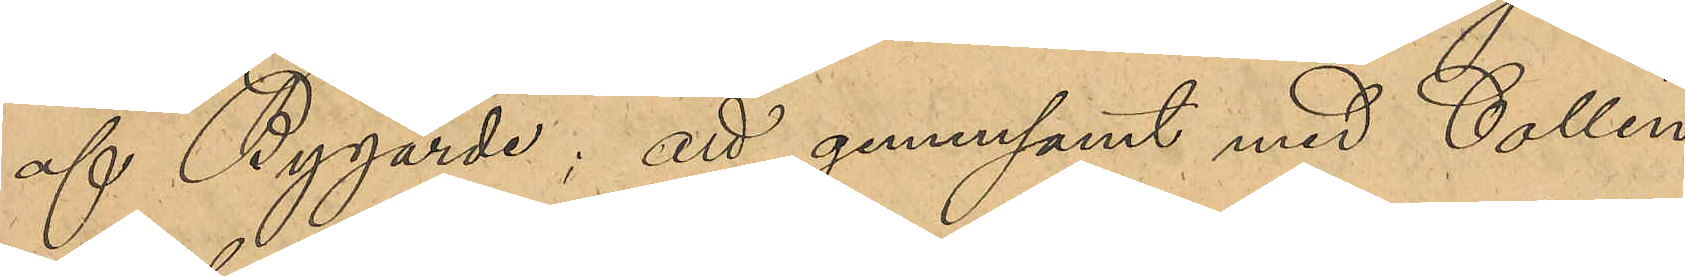af Bygärde; att gemensamt med Collin
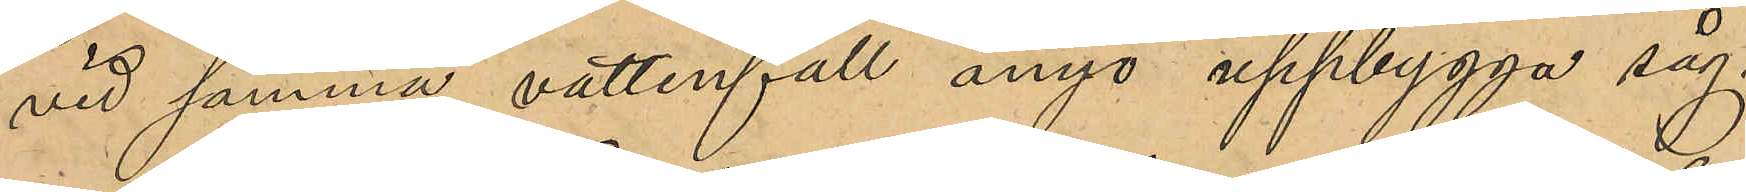vid samma vattenfall ånyo uppbygga såg¬
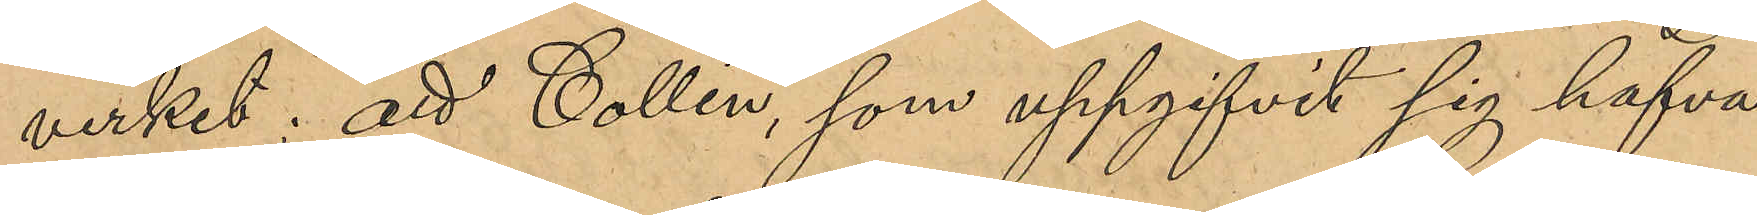verket; att Collin som uppgifvit sig hafva
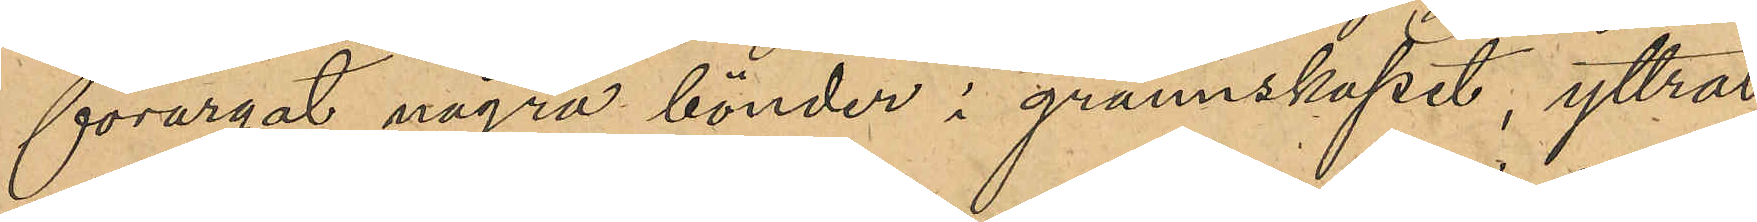förargat några bönder i gransskapet, yttrat
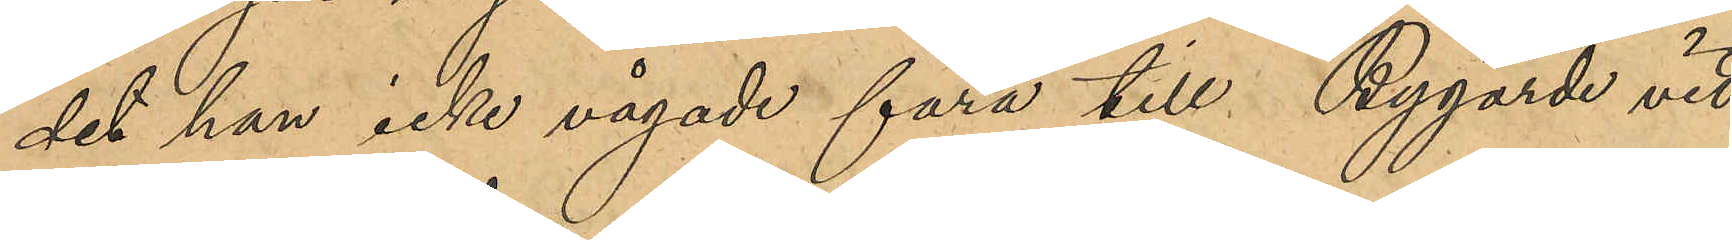det han icke vågade fara till Bygärde vid
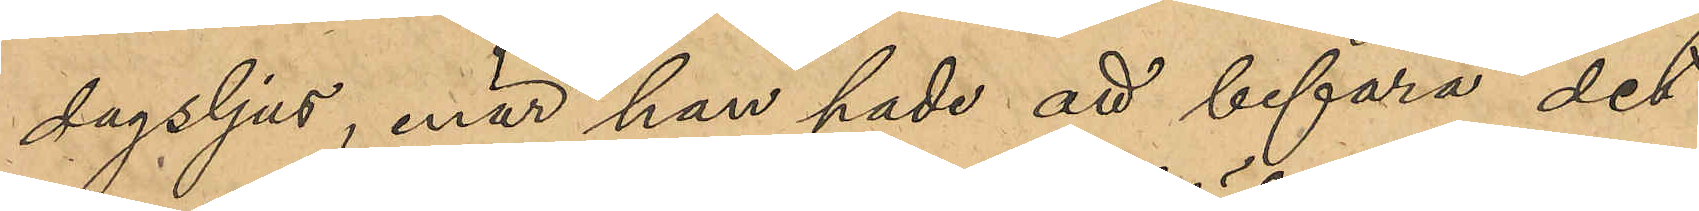dagsljus, enär han hade att befara det
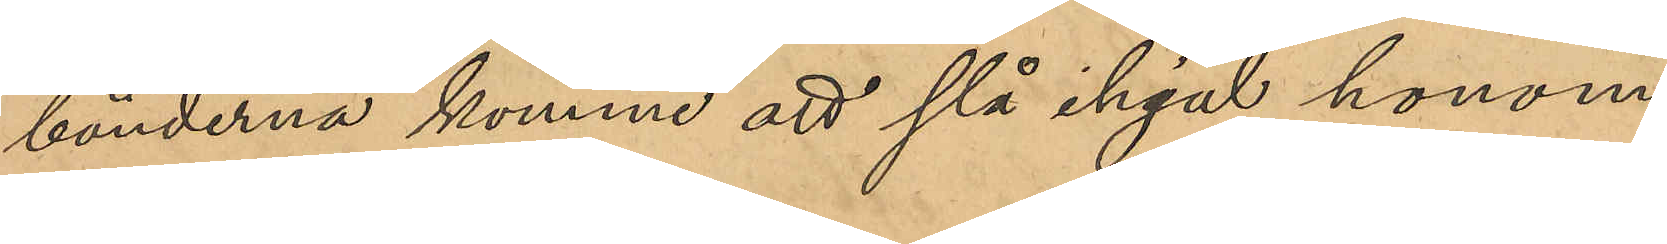bönderna komme att slå ihjäl honom;
